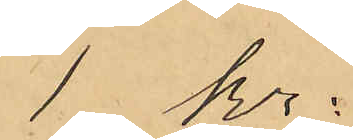1 kr:
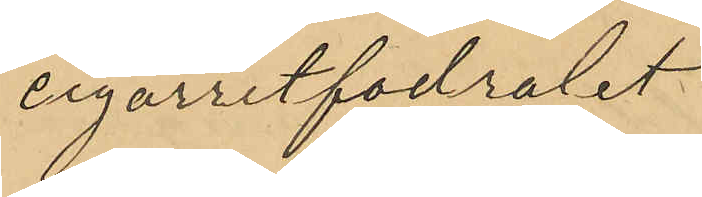cigarretfodralet
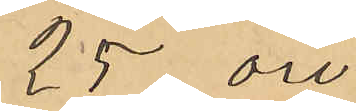25 öre
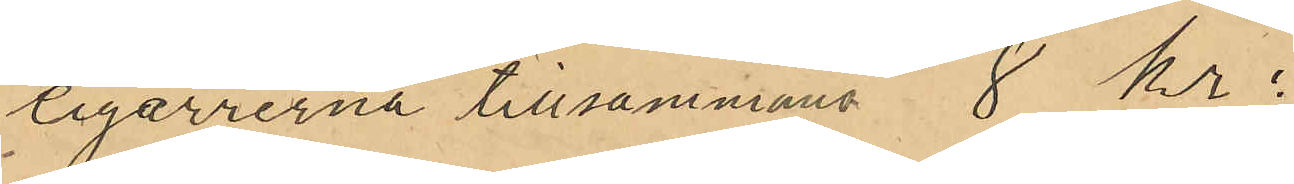cigarrerna tillsammans 8 kr:
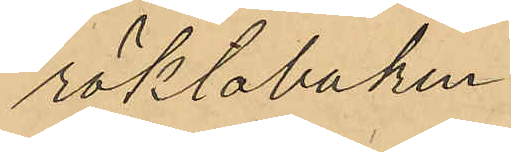röktobaken
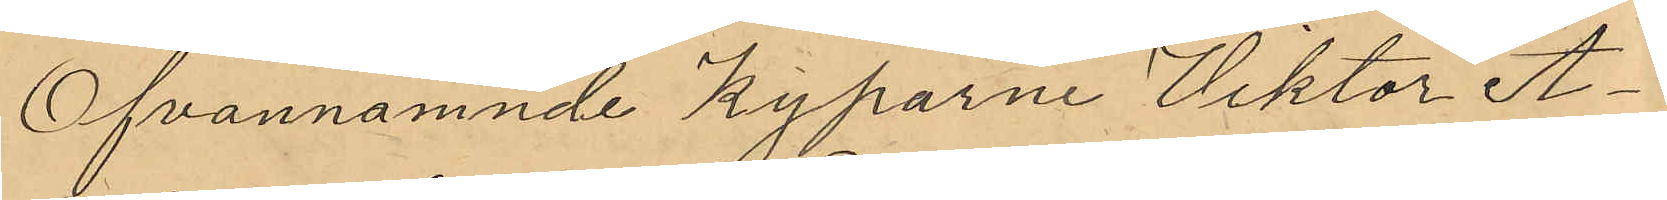Ofvannämnde Kyparne Viktor A¬
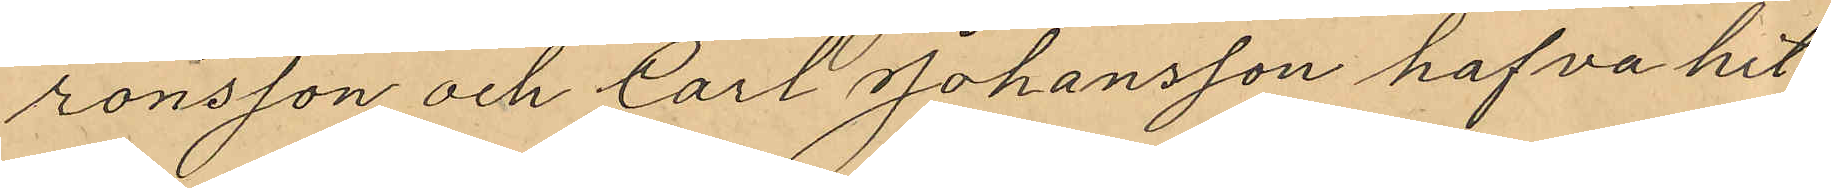ronsson och Carl Johansson hafva hit
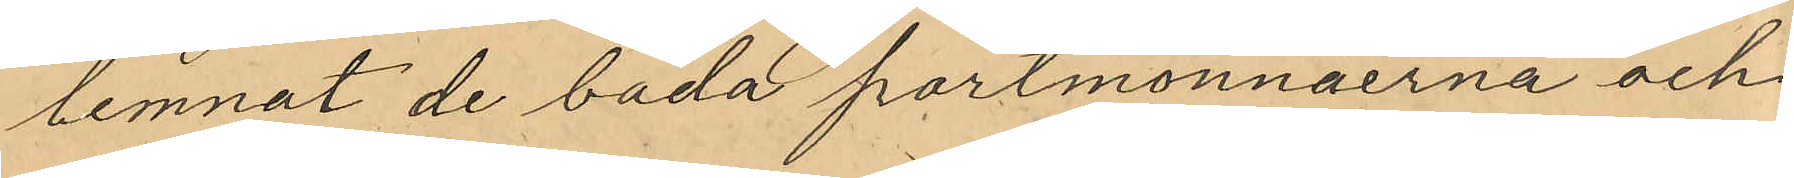lemnat de båda portmonnäerna och
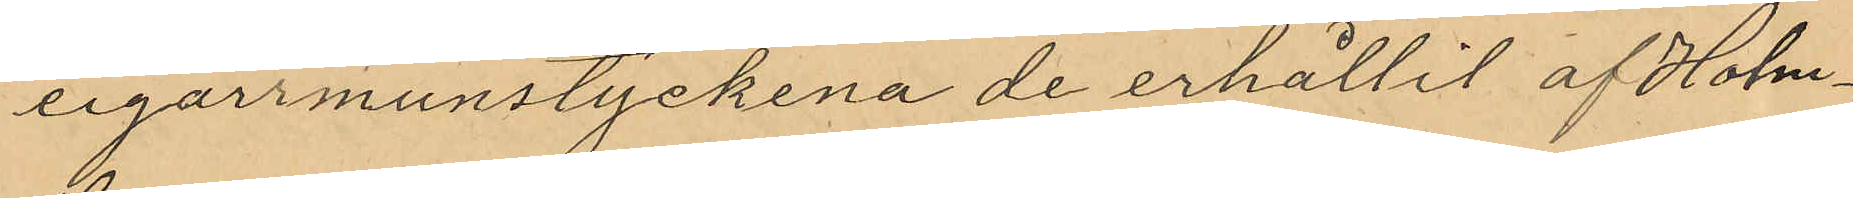cigarrmunstyckena de erhållit af Holm¬
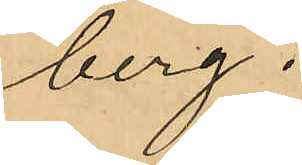berg.
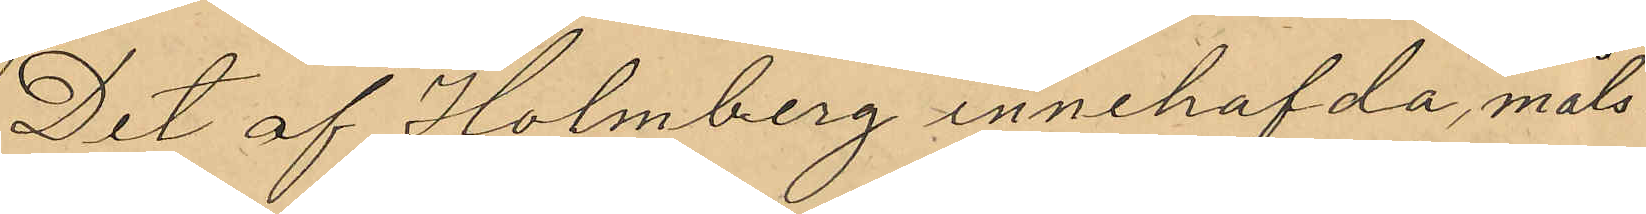Det af Holmberg innehafda, måls¬
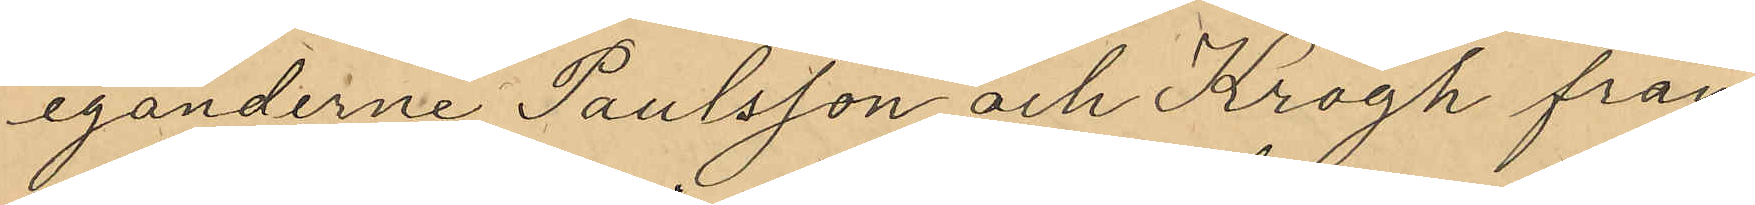eganderne Paulsson och Krogh från¬
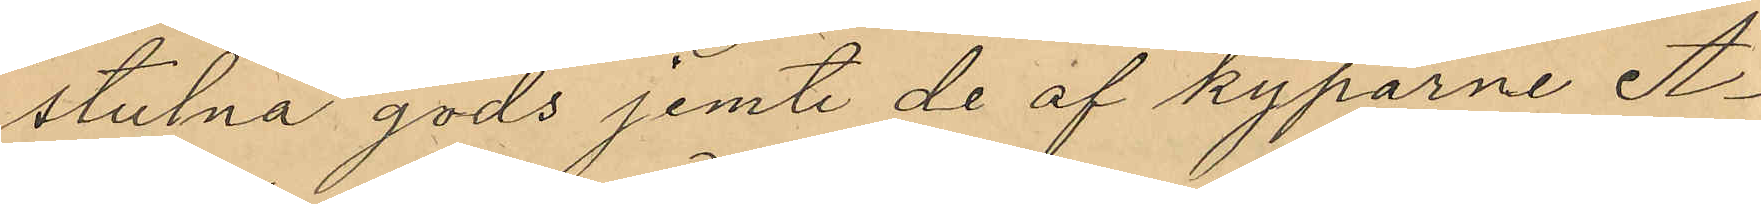stulna gods jemte de af kyparne A¬
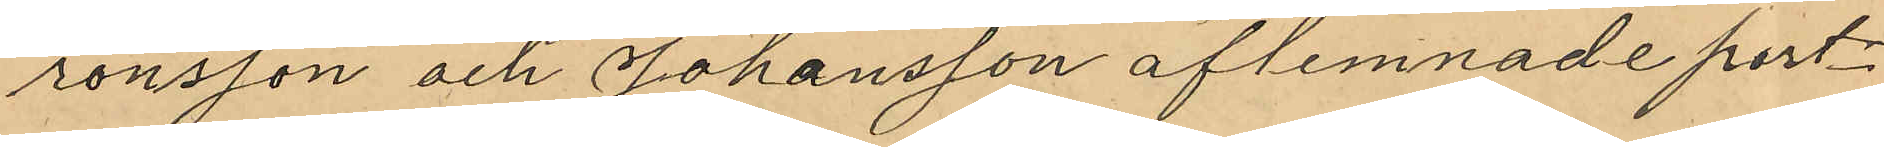ronsson och Johansson aflemnade port¬
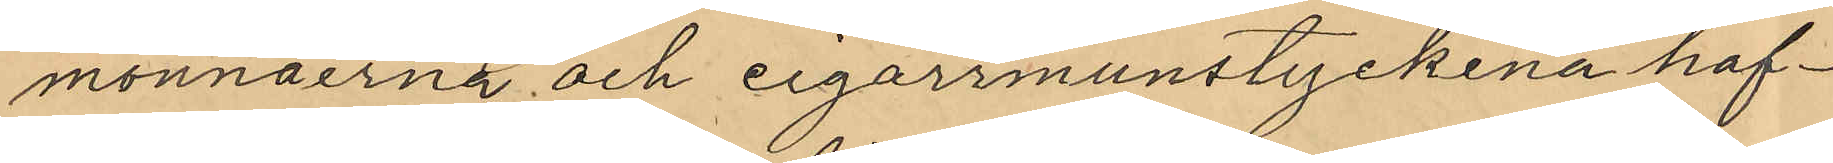monnäerna och cigarrmunstyckena haf¬
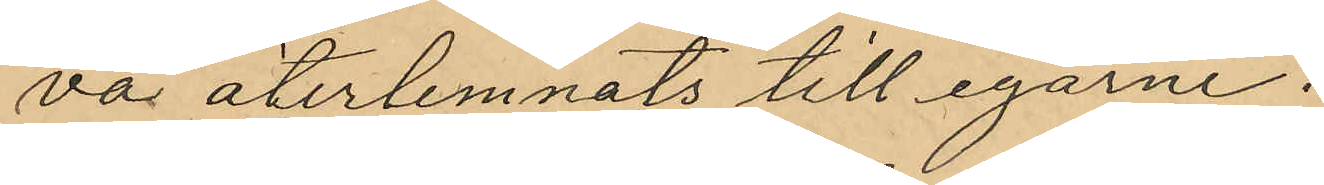va återlemnats till egarne.
